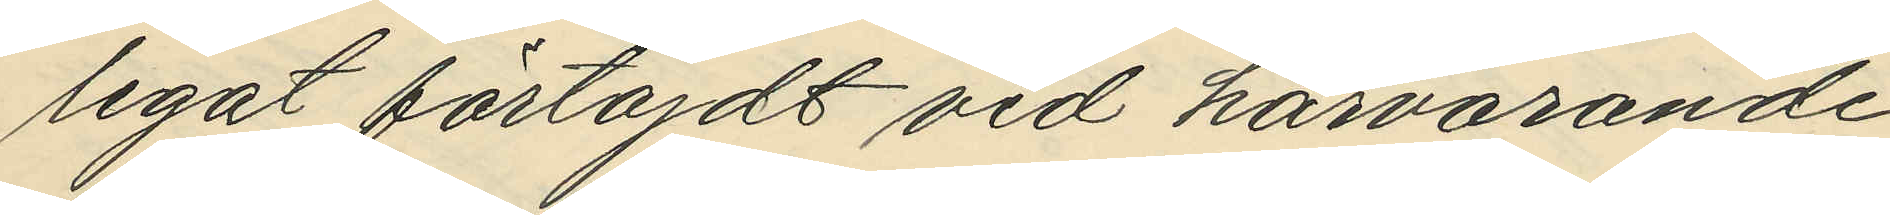legat förtöjdt vid härvarande
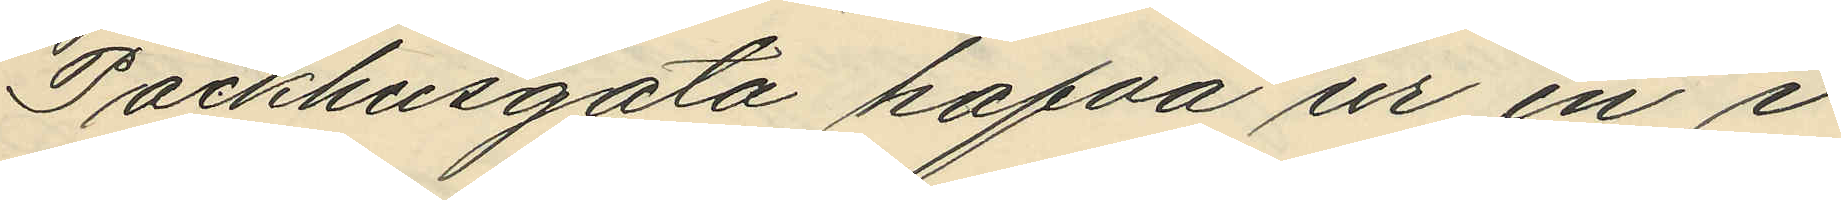Packhusgata hafva ur en i
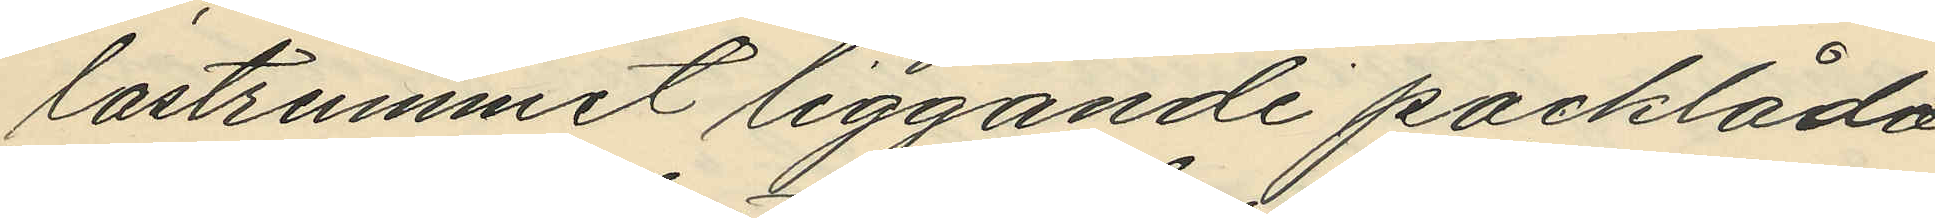lastrummet liggande packlåda
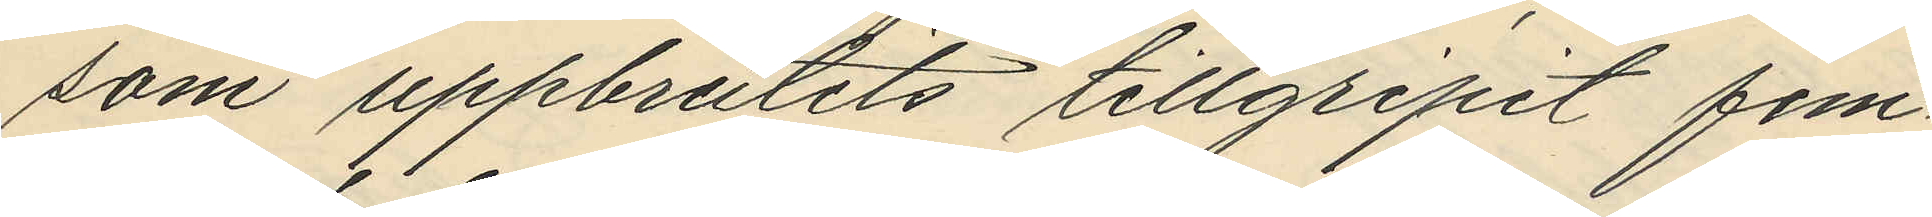som uppbrutits tillgripit fem¬
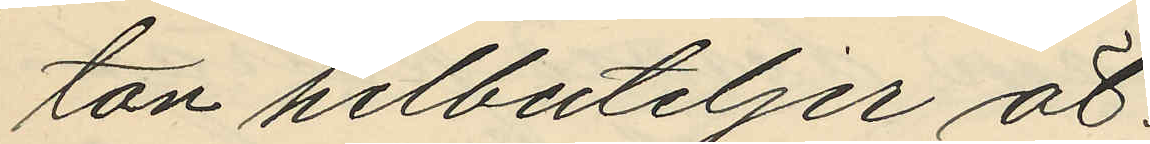ton helbuteljer öl.
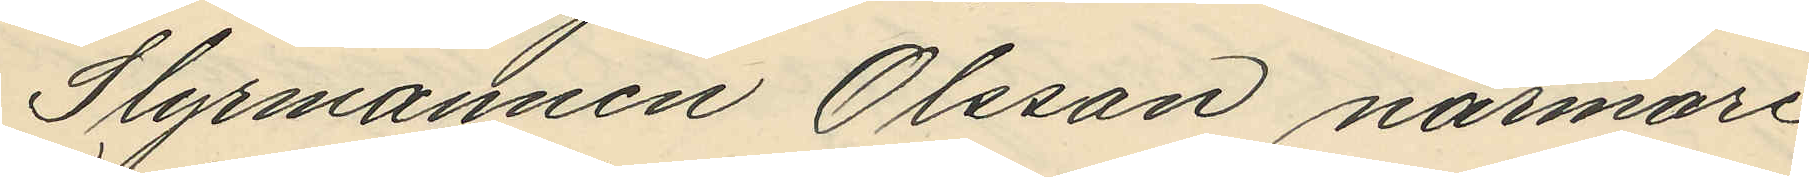Slyrmannen Olsson närmare
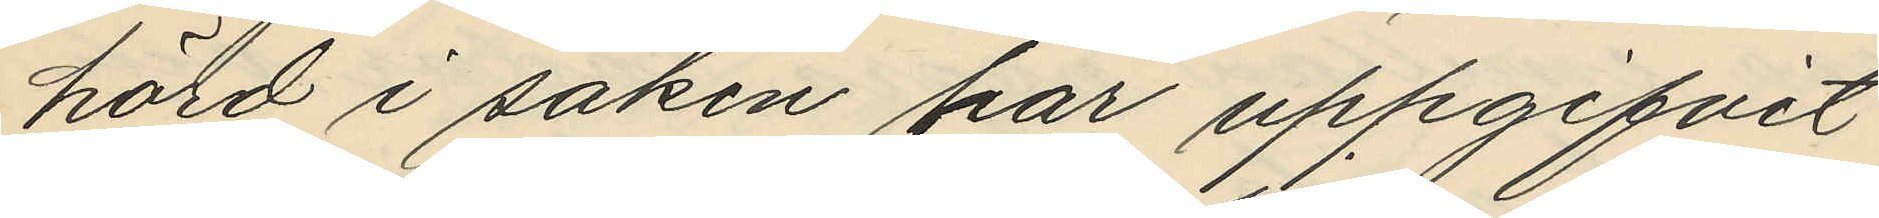hörd i saken har uppgifvit
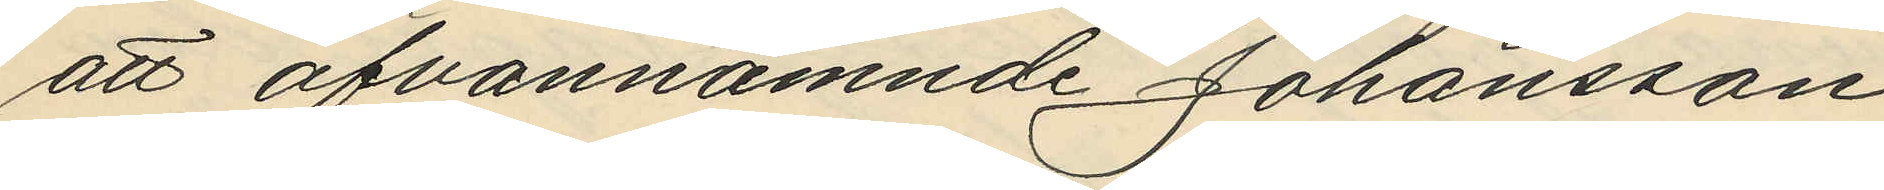att ofvannämnde Johansson
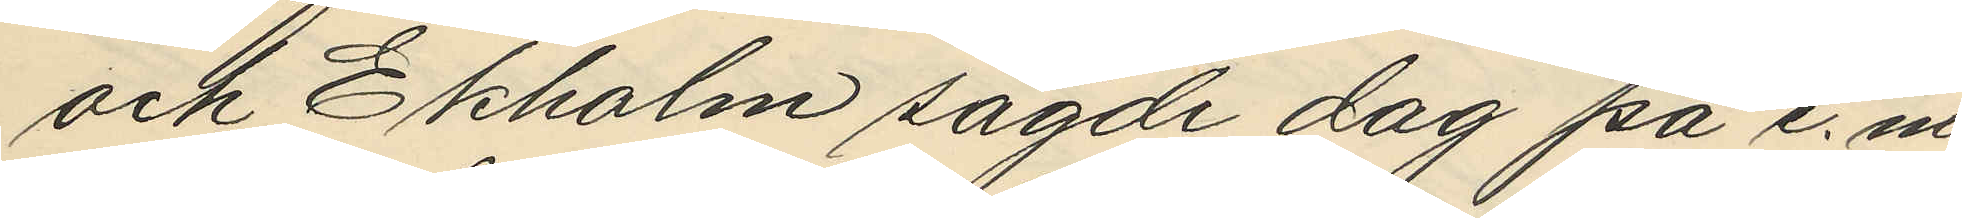och Ekholm sagde dag på e. m.
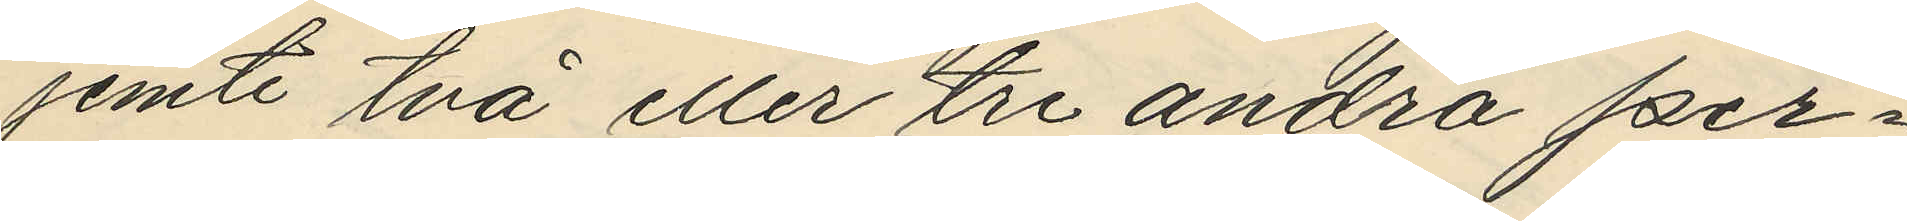jemte två eller tre andra per¬
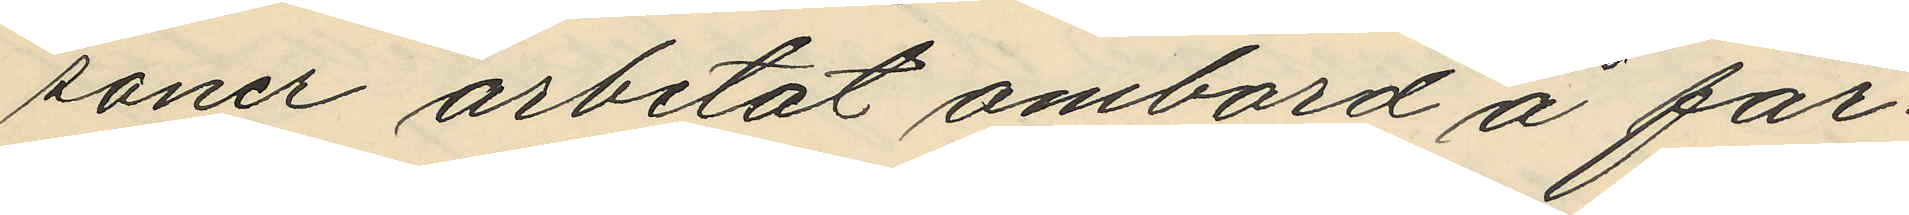soner arbetat ombord å far¬
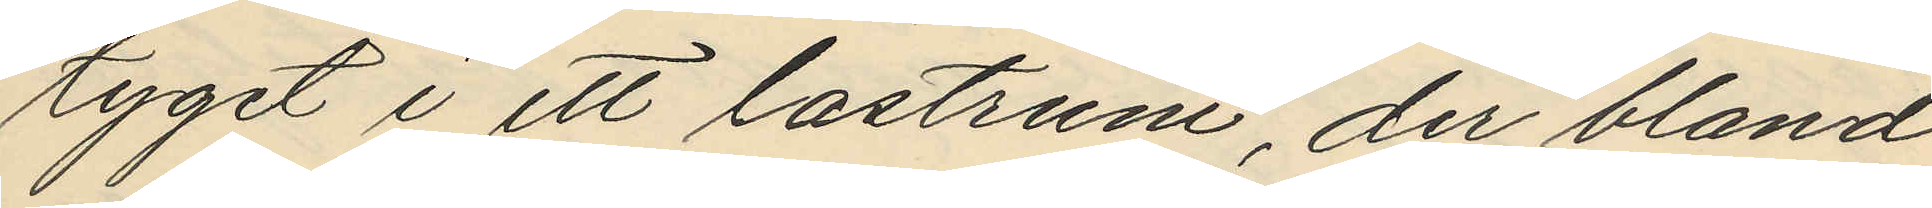tyget i ett lastrum, der bland
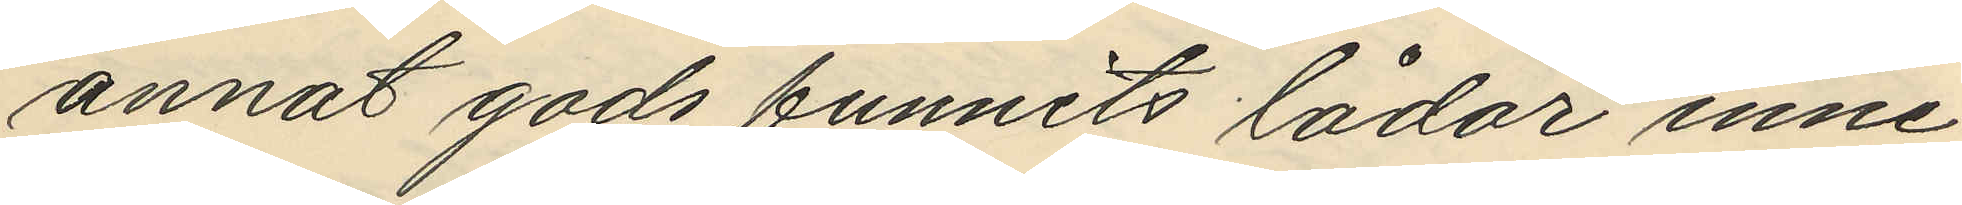annat gods funnits lådor inne¬
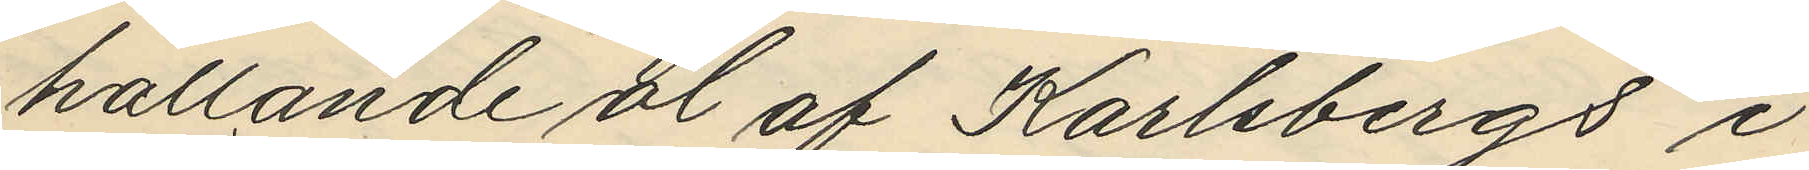hållande öl af Karlsbergs i
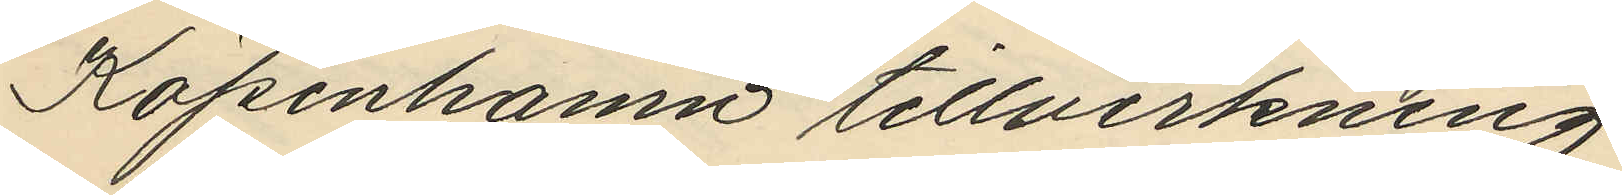Köpenhamn tillverkning;
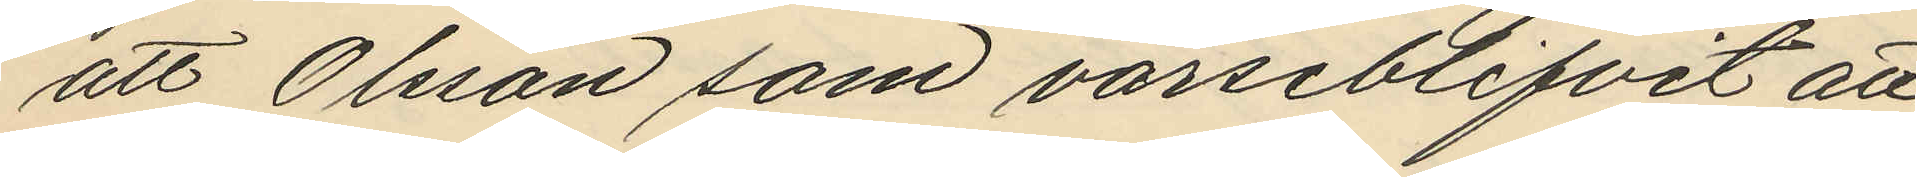att Olsson som varseblifvit att
